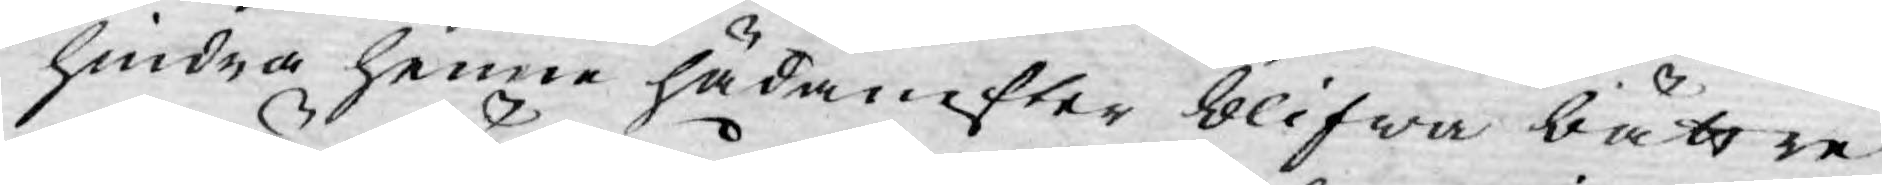hindra henne hädanefter blifwa bättre.
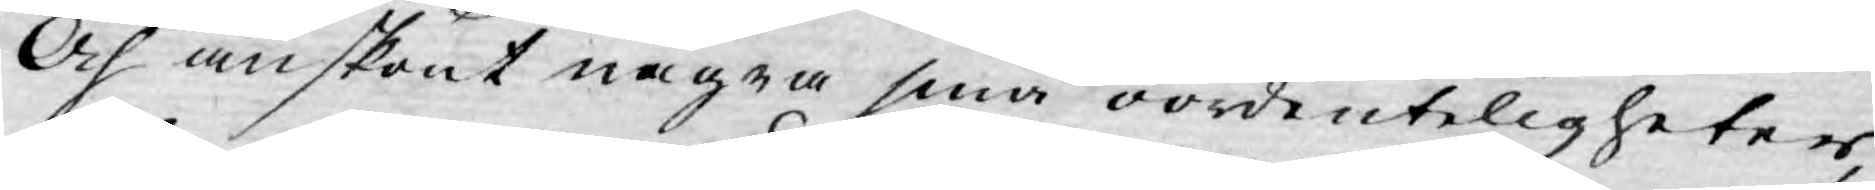Och anskönt några små oordenteligheter,
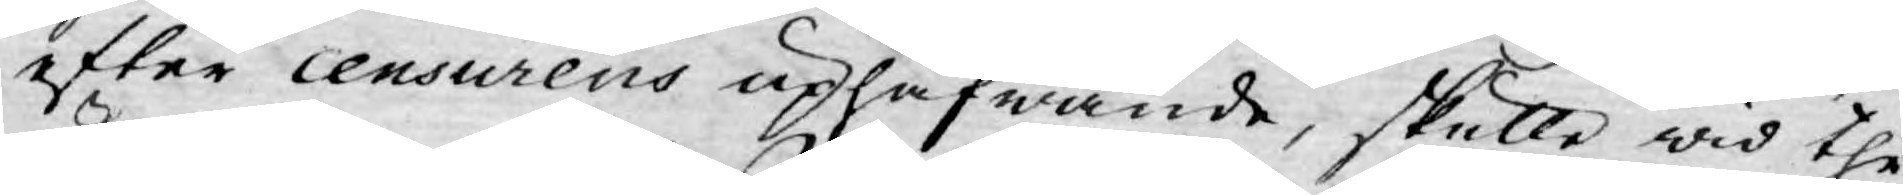efter censurens uphäfwande, skulle wid the
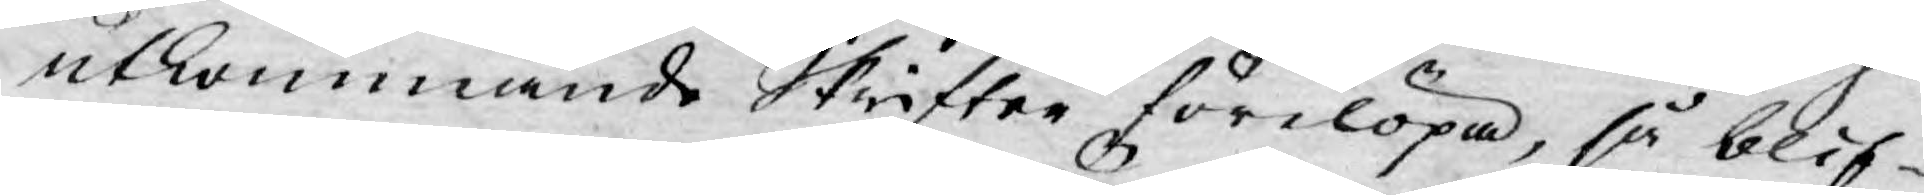utkommande Skrifter förelöpa, så blif¬
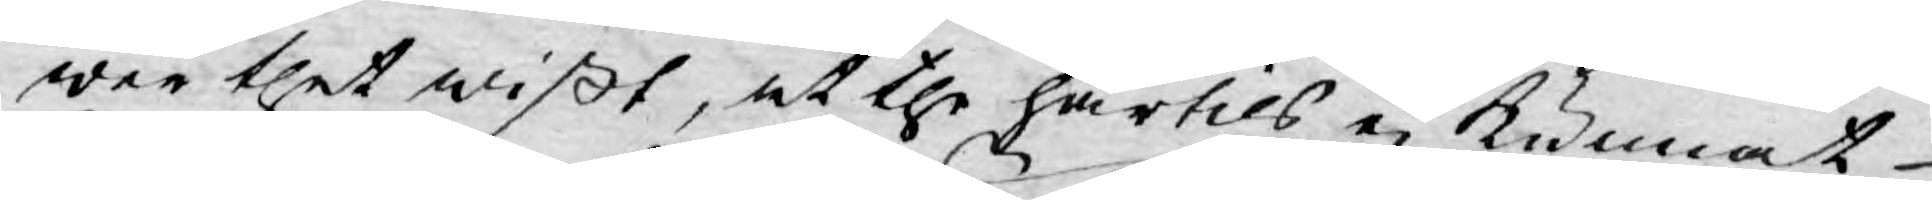wer thet wißt, at the härtils ej kunnat
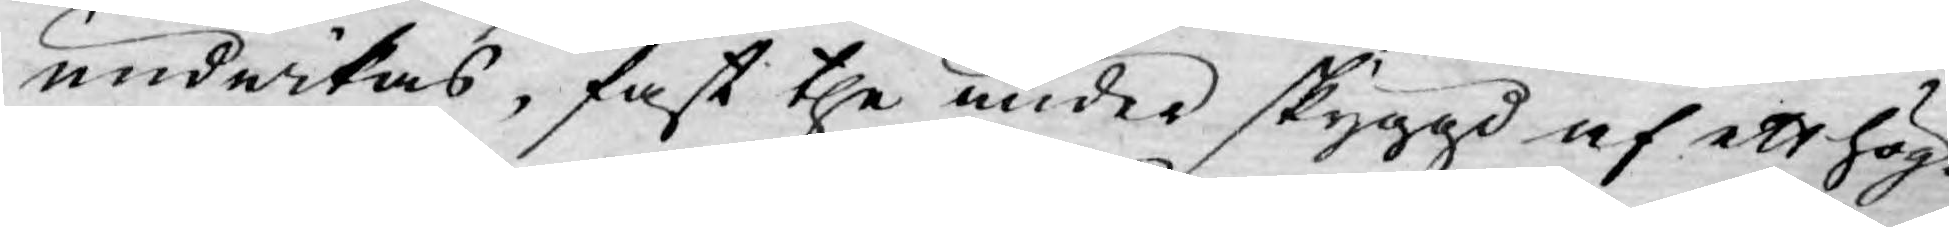undwikas, fast the under skyggd af ett hög¬
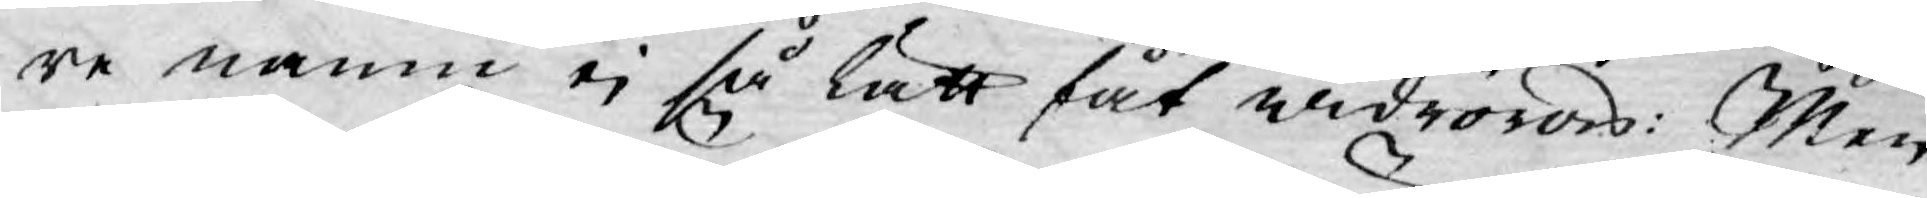re namn ej så lätt fåt widröras: Men
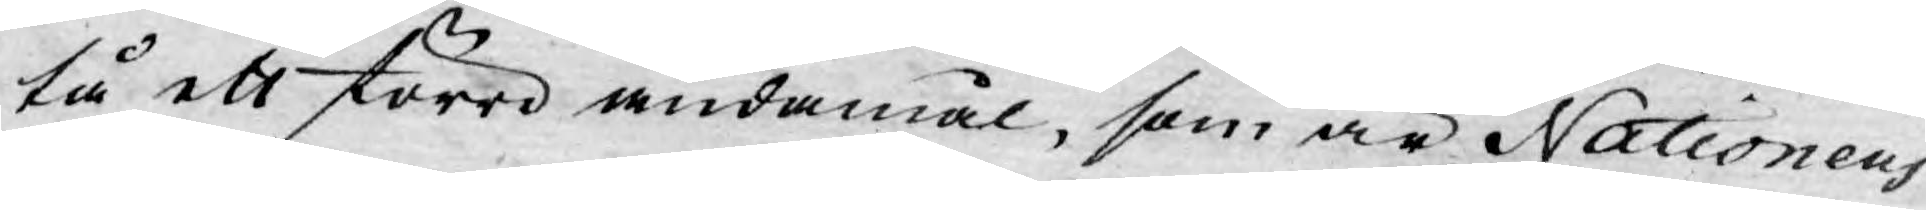tå ett större ändamål, som är Nationens
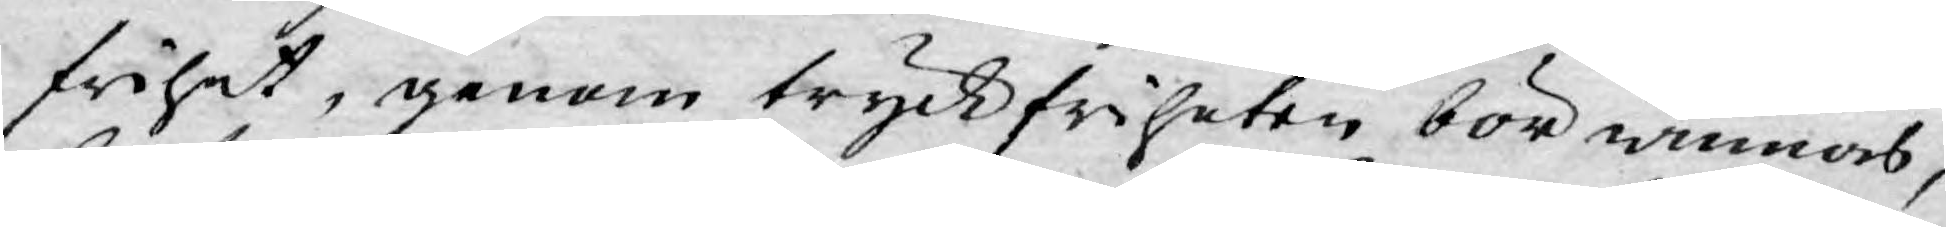frihet, genom tryckfriheten bör winnas,
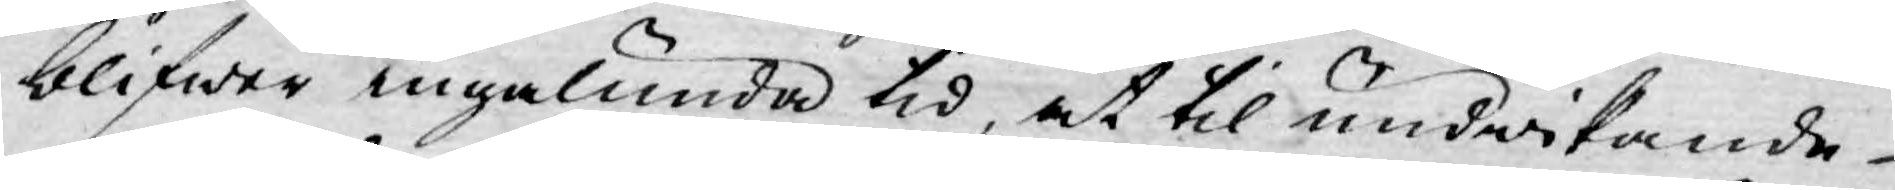blifwer ingalunda tid, at til undwikande
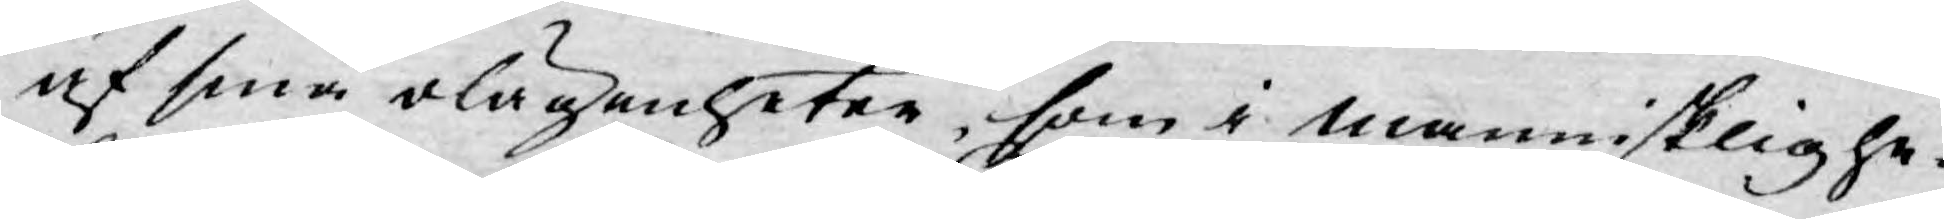af sina olägenheter, som i mannisklighe¬
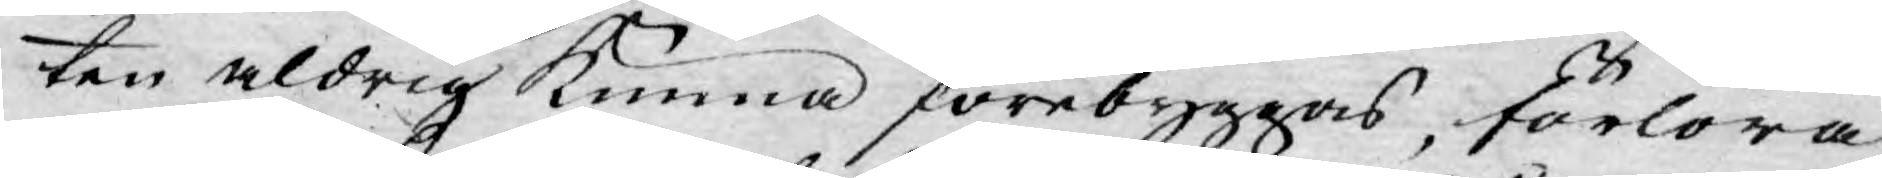ten aldrig kunna förebyggas, förlora
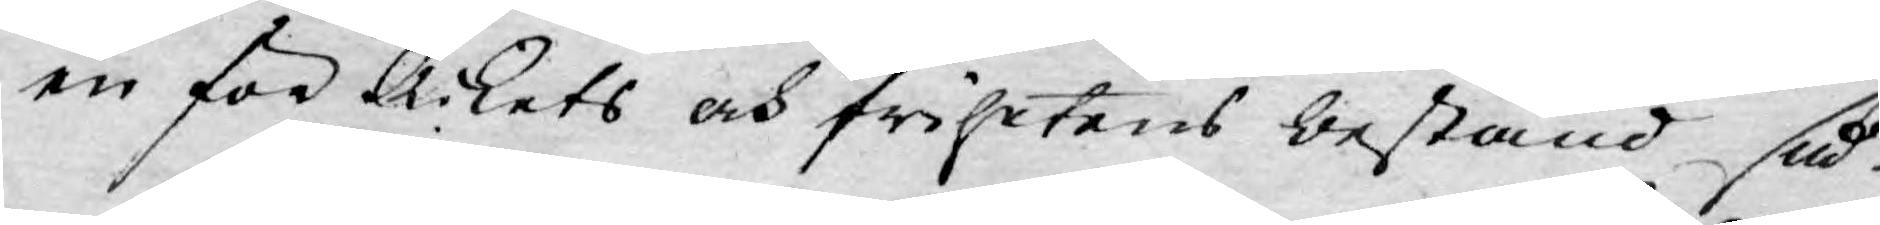en för Rikets och frihetens bestånd så
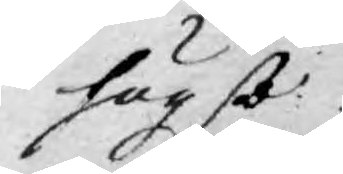högst
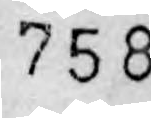758
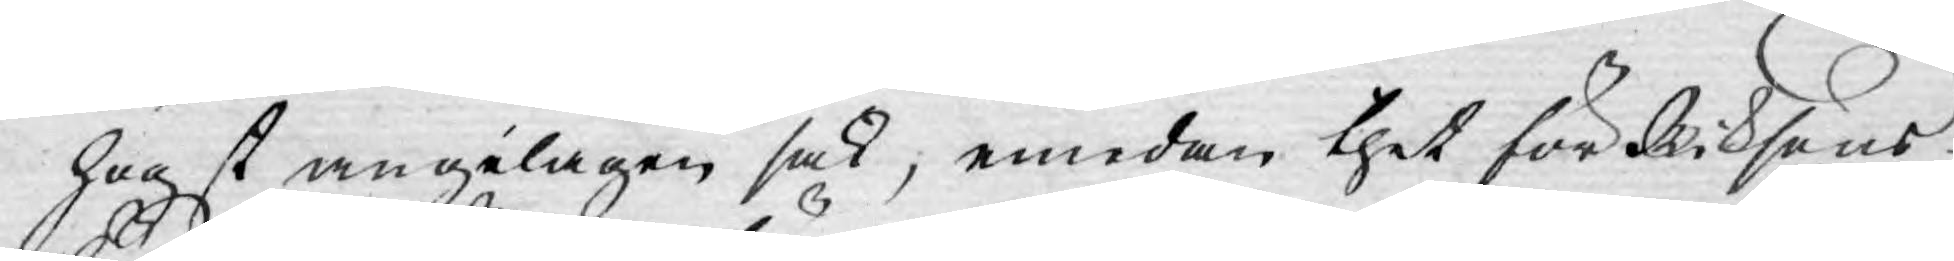högst angelägen sak; emedan thet för Riksens
